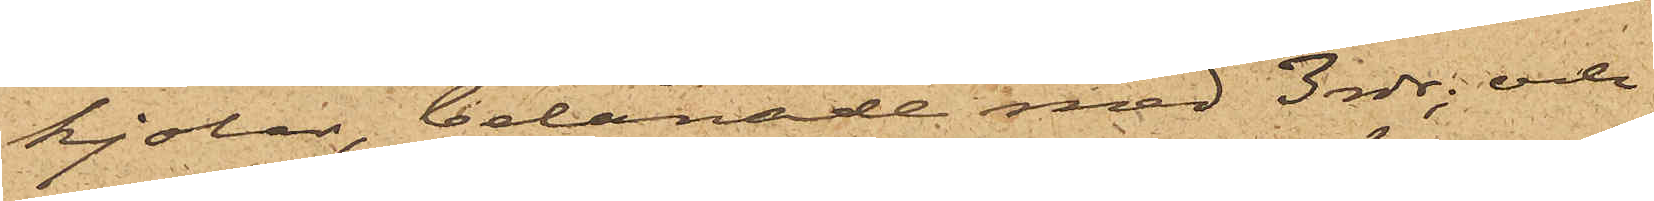kjolar, belånade med 3 rdr; och
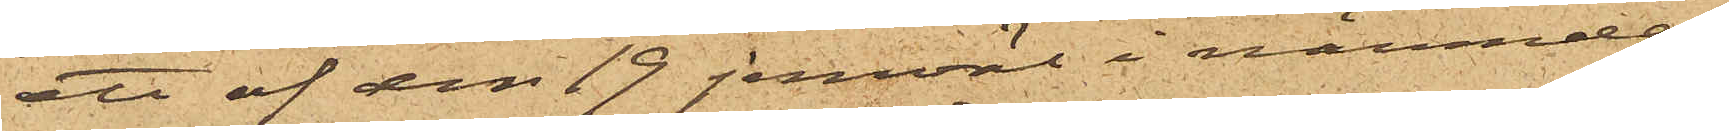ett af den 19 jemväl i nämnde
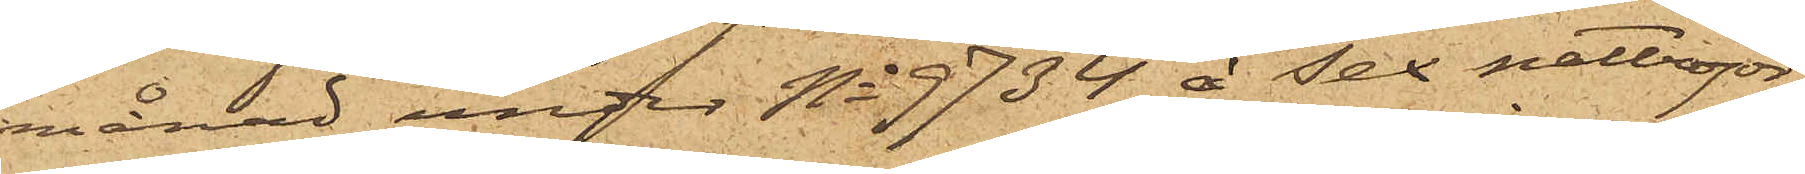månad under No 9734 å sex nattröjor,
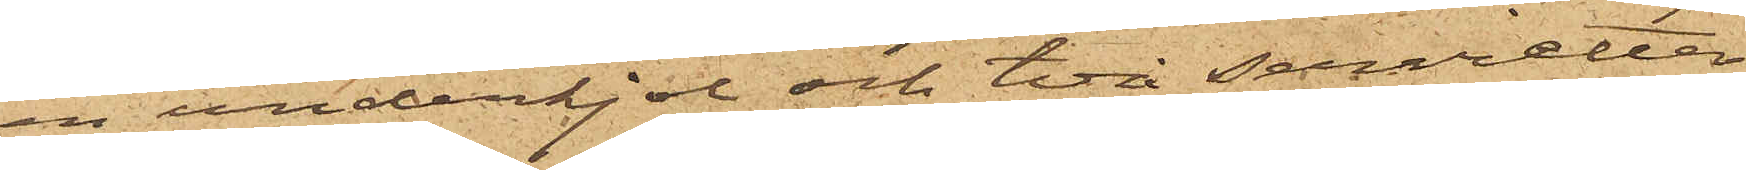en underkjol och två servietter
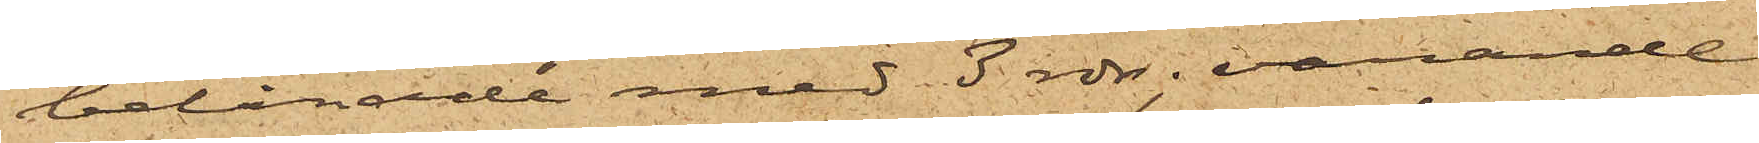belånade med 3 rdr; varande
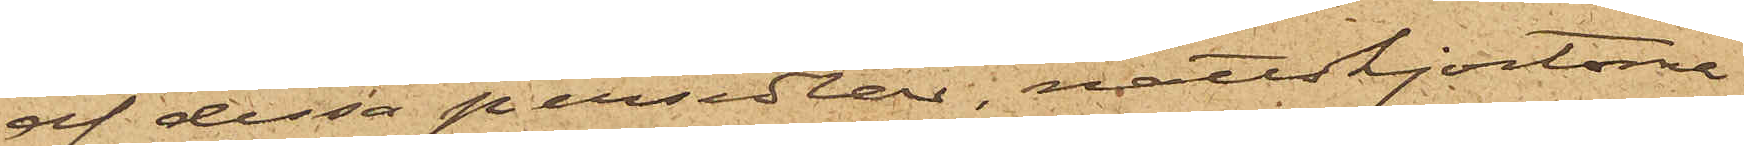af dessa persedlar, nattskjortorna
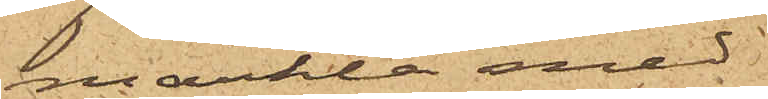märkta med
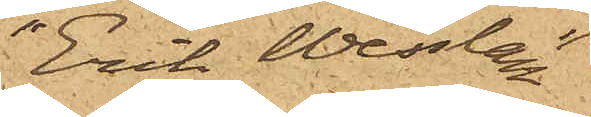"Erik Wesslau"
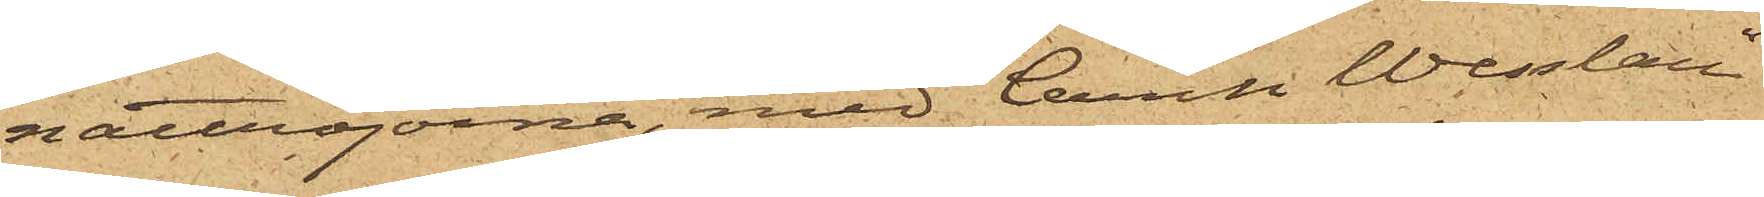nattröjorna, med "Carin Wesslau"
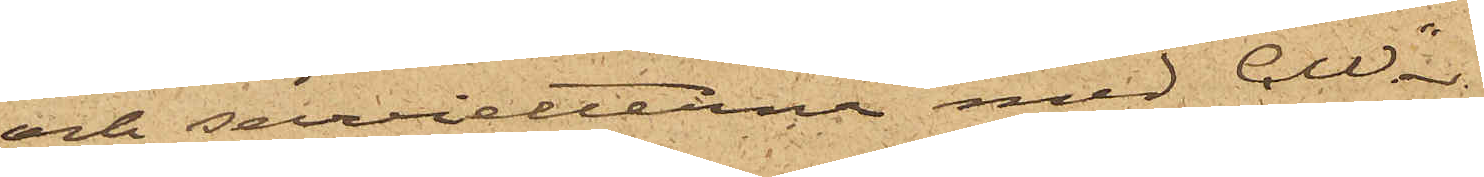och servetterna med "CW".
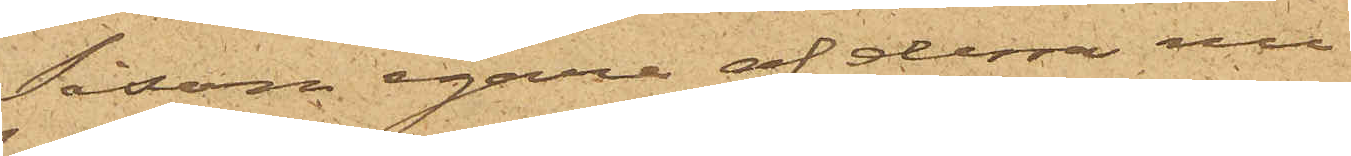Såsom egare af dessa nu
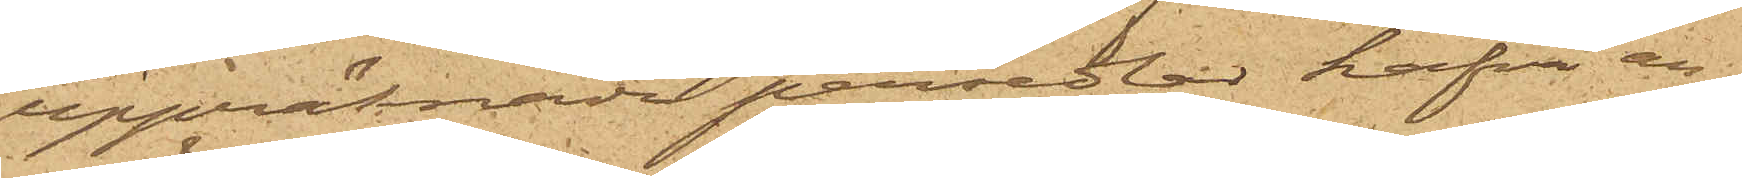uppräknade persedlar hafva an¬
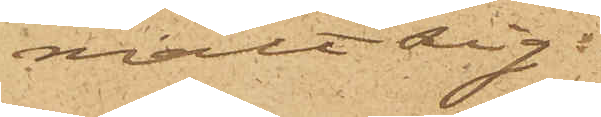mält sig:
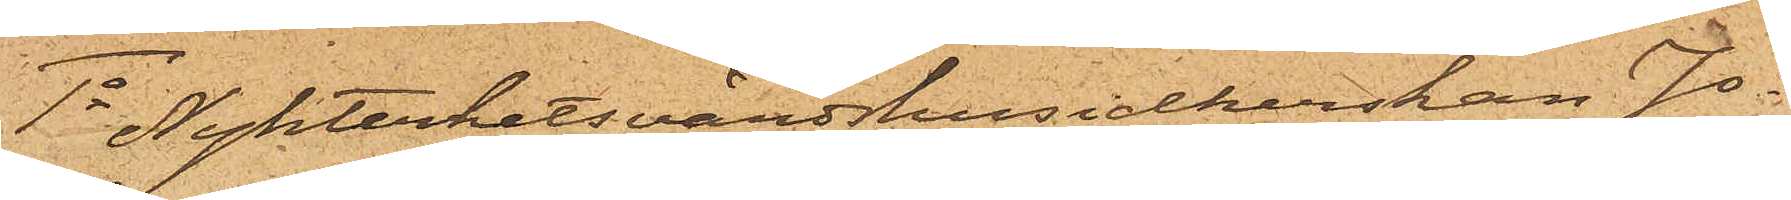1o Nykterhetsvärdshusidkerskan Jo¬
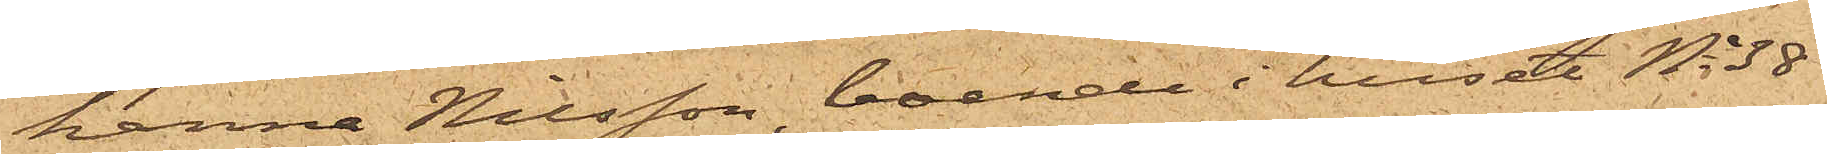hanna Nilsson, boende i huset No 38
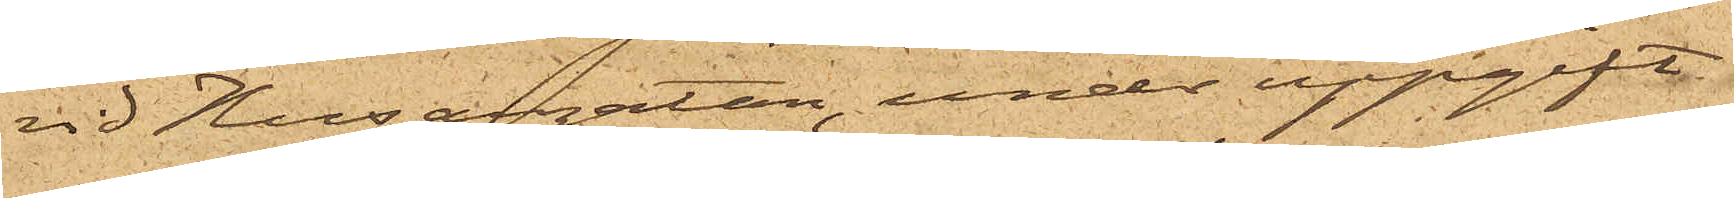vid Husargatan, under uppgift
